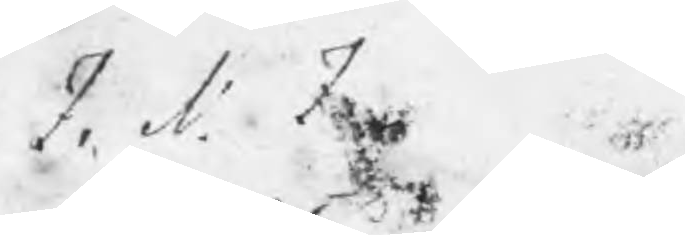I. N. I.
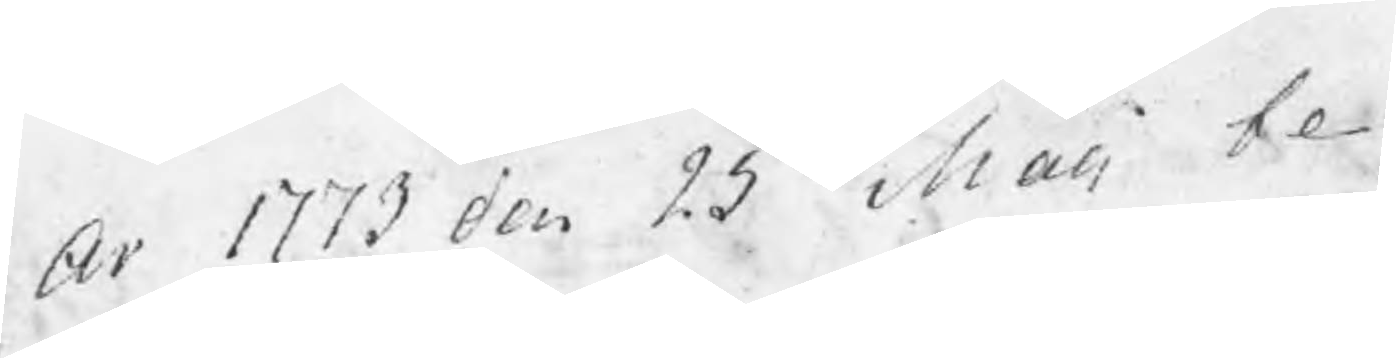Ar 1773 den 25 Maii be¬
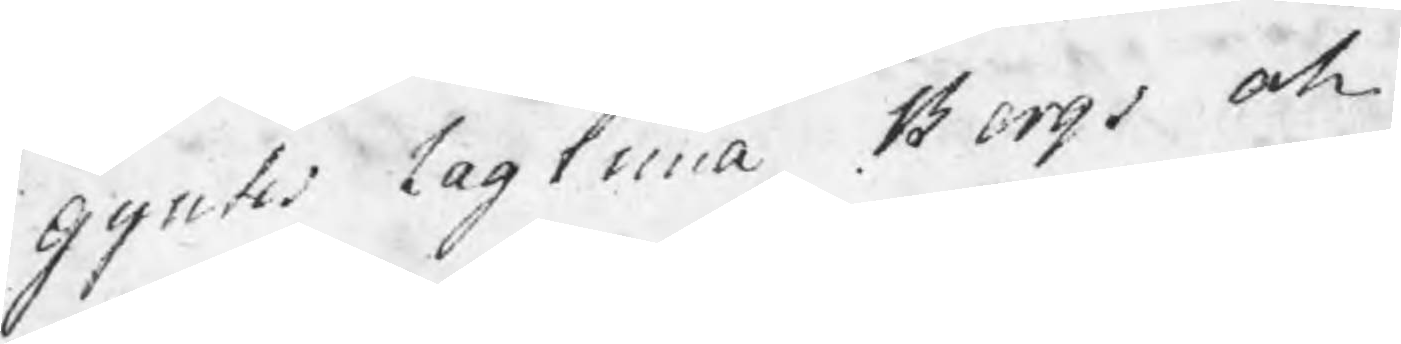guntes lagtima Bergs och
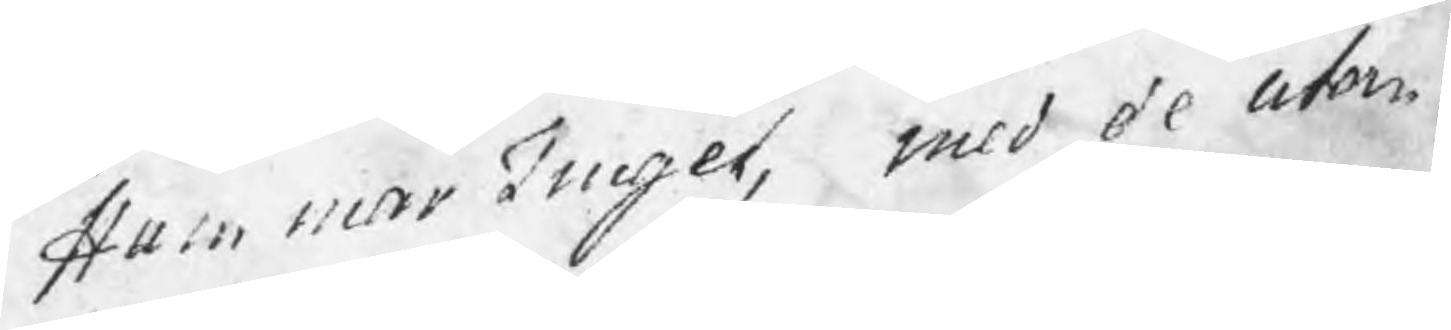HammarTinget, med de utom
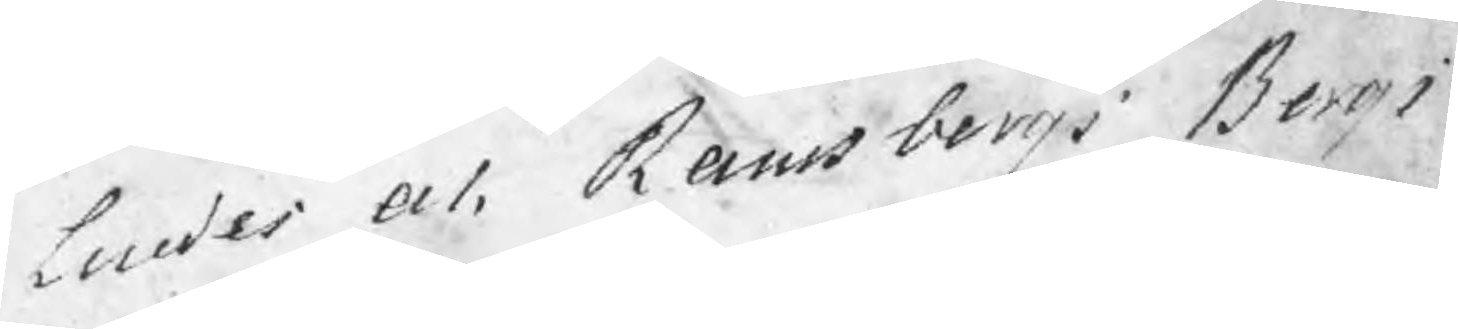Lindes och Ramsbergs Bergs
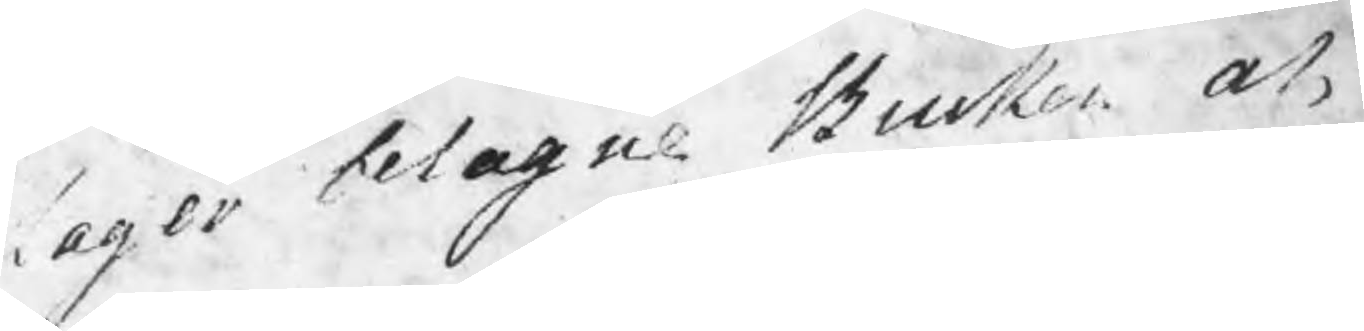lager belagne Bruken och
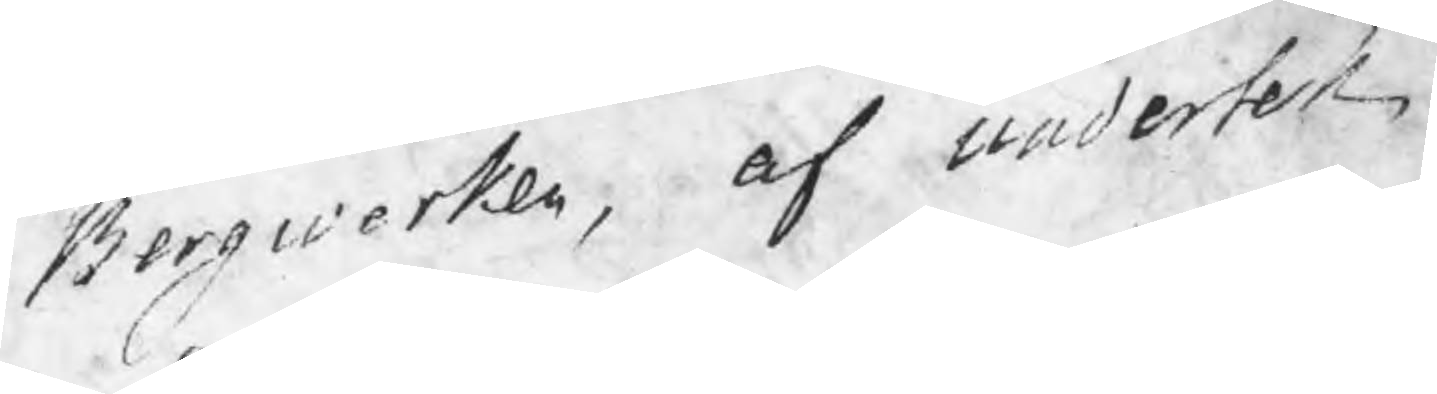Bergwerken, af undertek¬
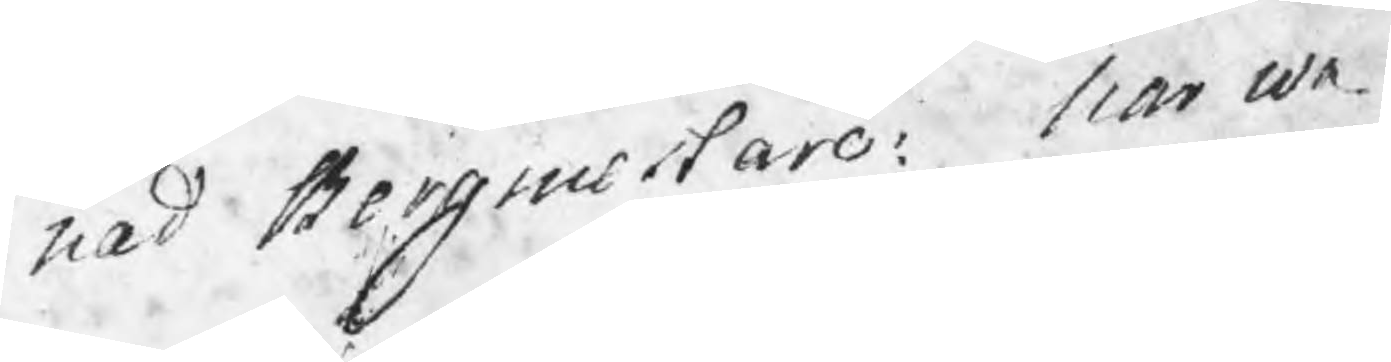nad Bergmestare: har wa¬
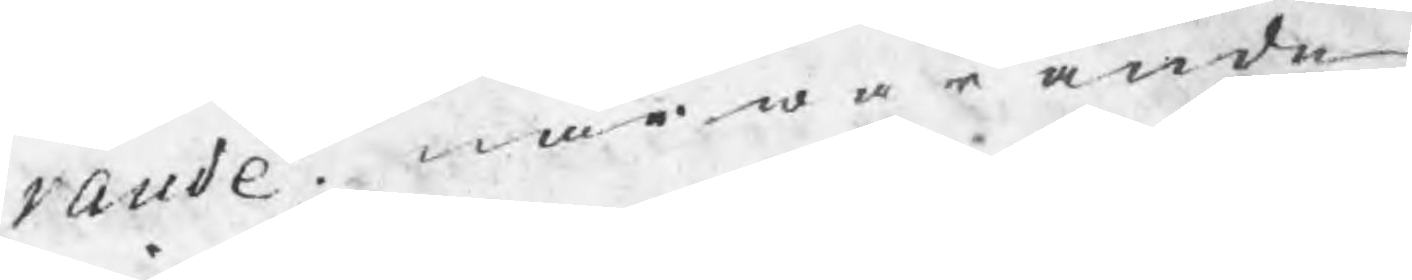rande närwarande
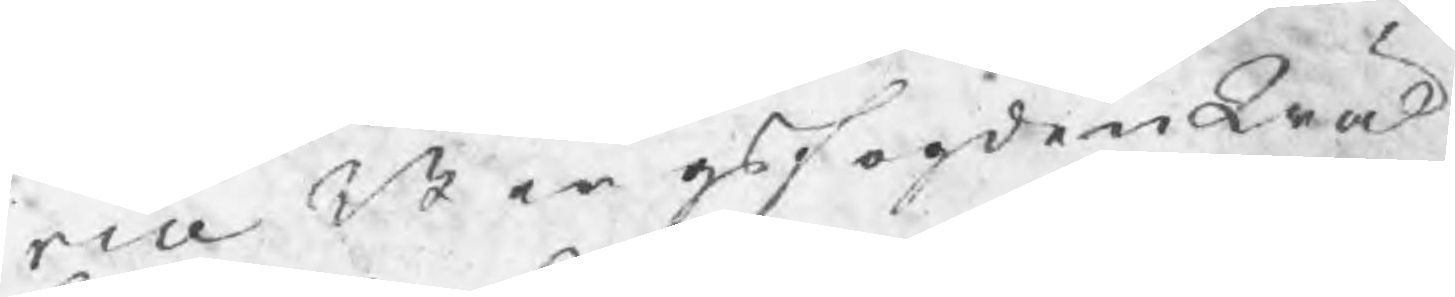vice Bergsfogden Wäl¬
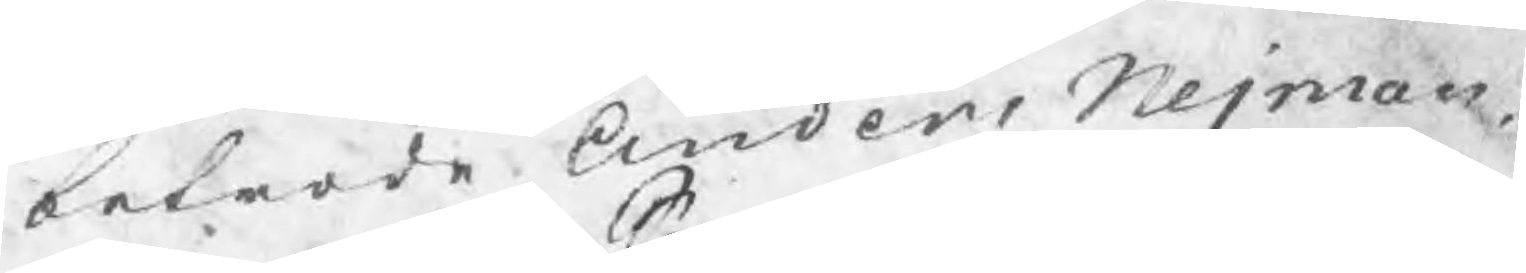betrode Anders Nejman
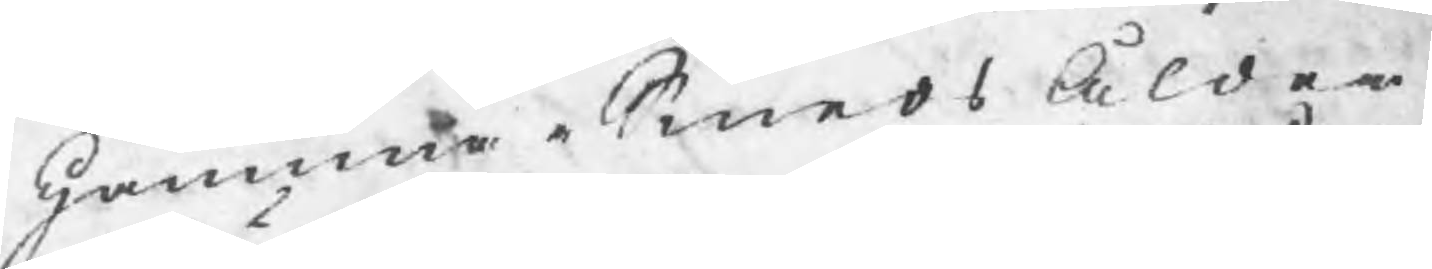HammarSmedsÅlder
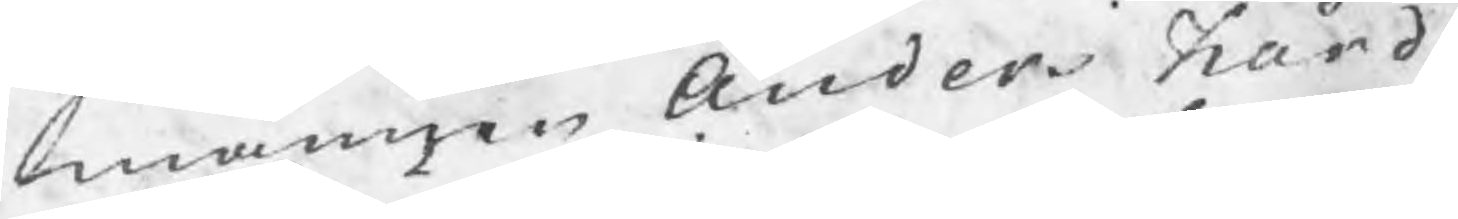männen Anders Hård
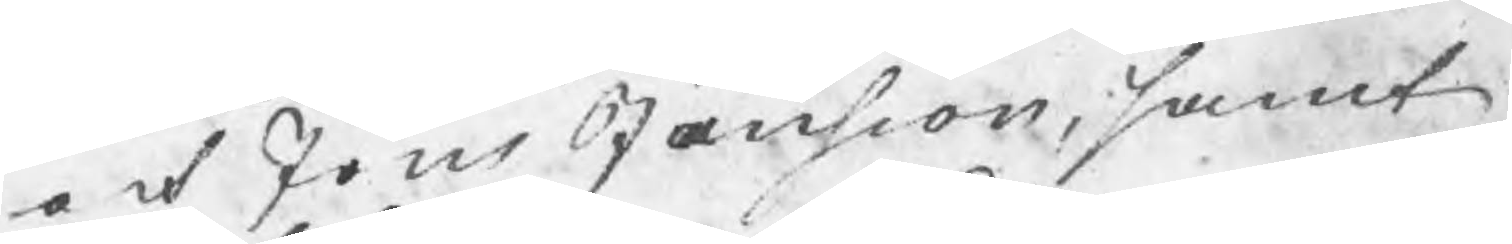och Jöns Jansson, samt
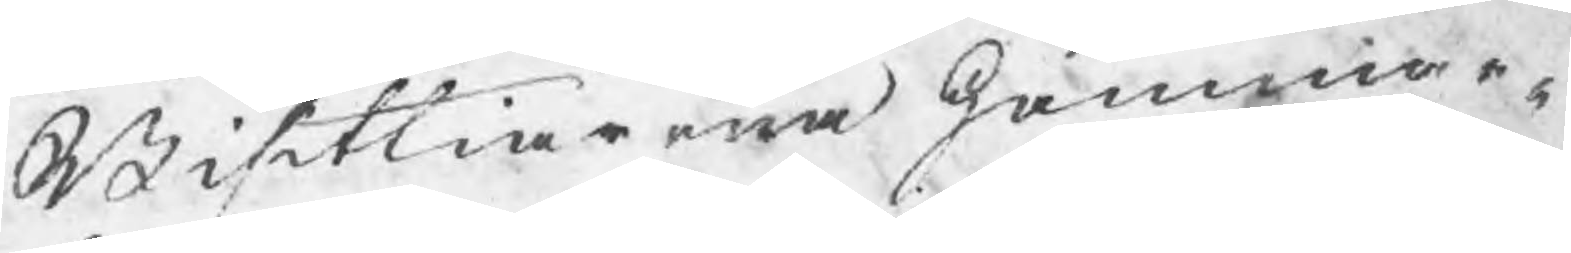Bisittiarna Hammar¬
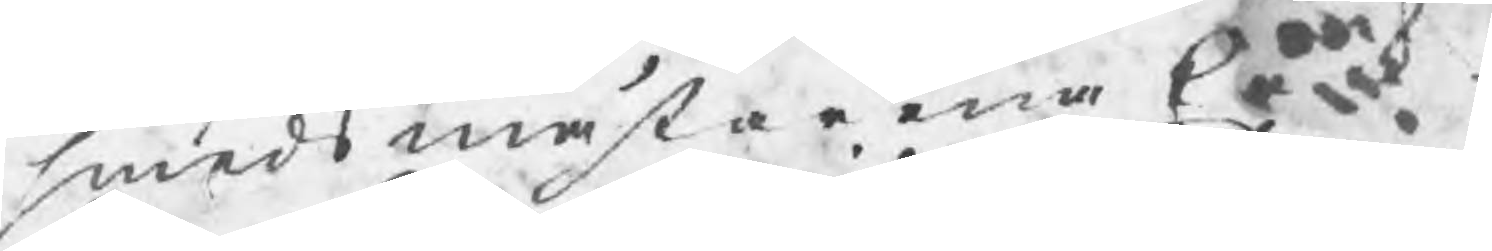smedsmästarna Erik
